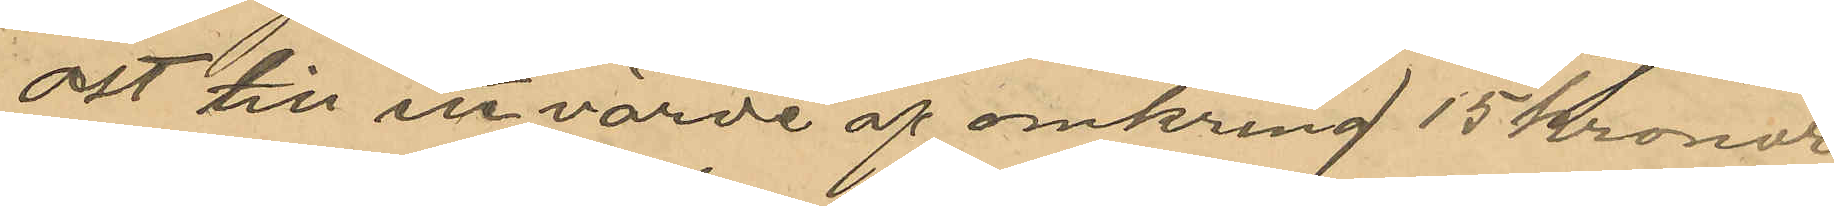ost till ett värde af omkring 15 Kronor,
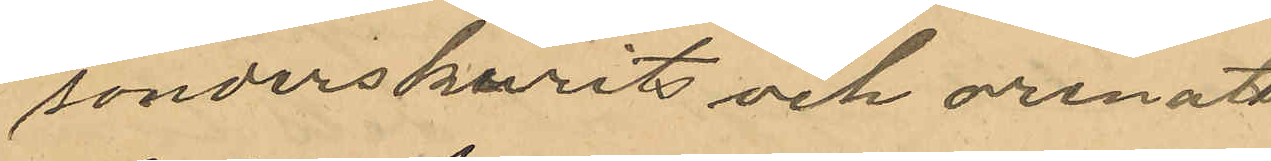sonderskurit och orenats
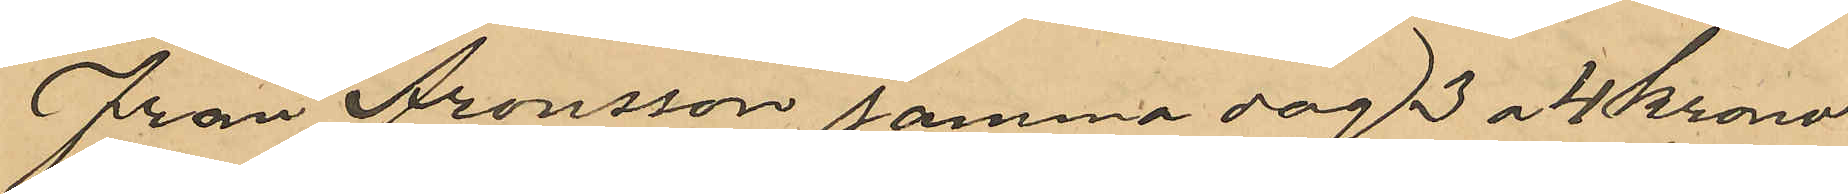Från Aronsson samma dag 3 a 4 Kronor
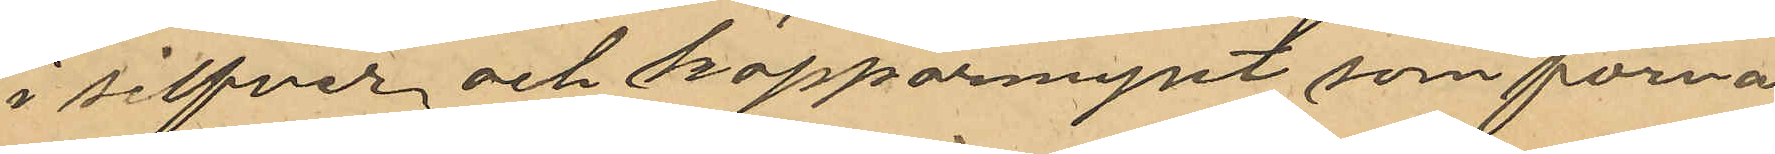i silfver och kopparmynt, som förva¬
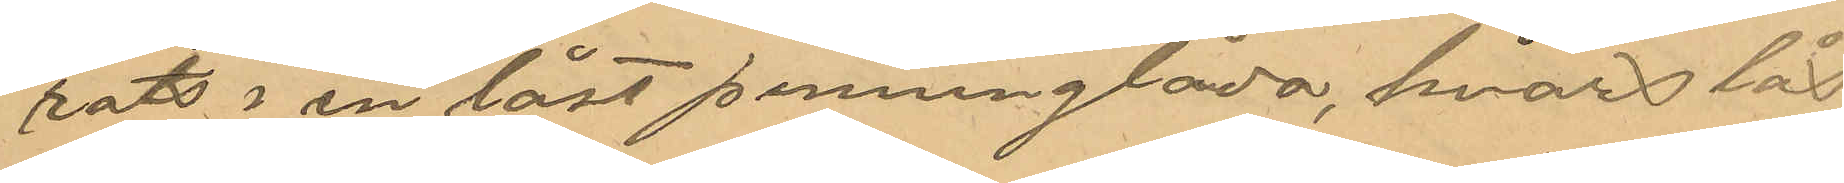rats i en låst penninglåda, hvars lås
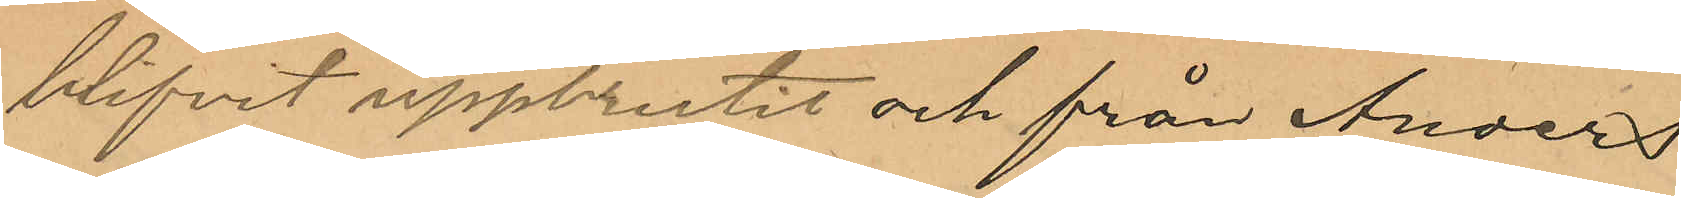blifvit uppbrutit och från Anders
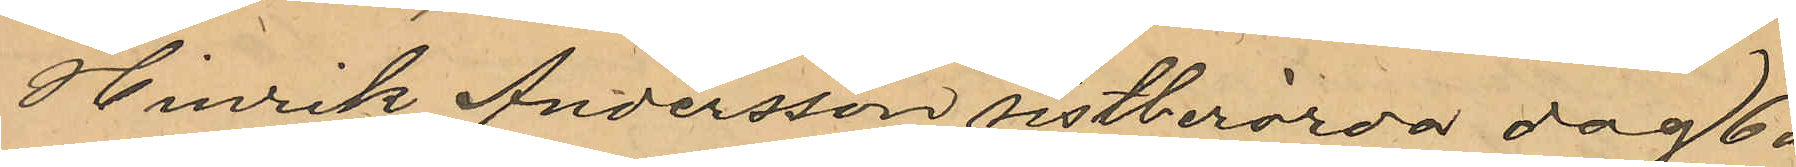Hinrik Andersson sistberörda dag 6 å
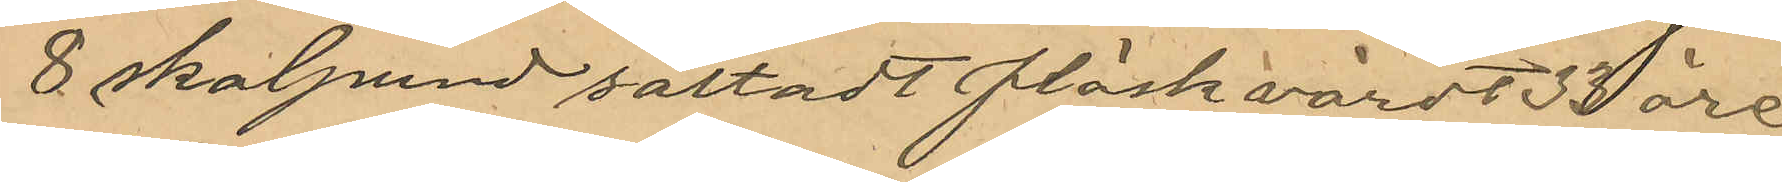8 skalpund saltadt fläsk värdt 33 öre
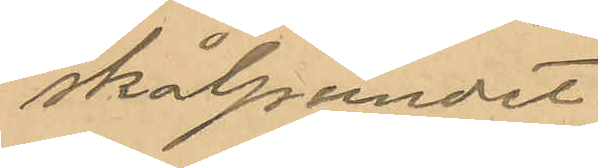skålpundet.
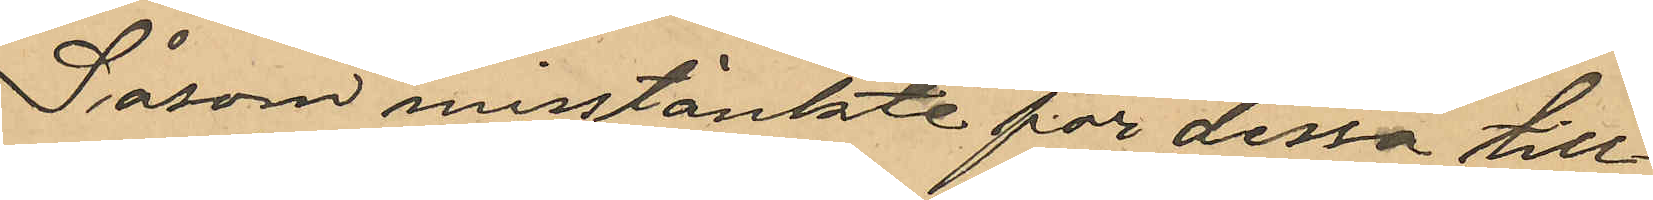Såsom misstänkte för dessa till¬
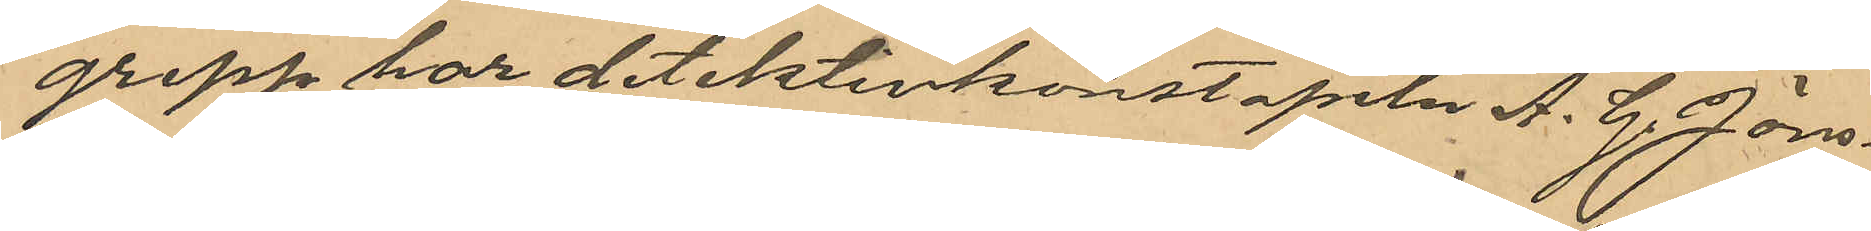grepp har detektivkonstapeln A. G. Jöns¬
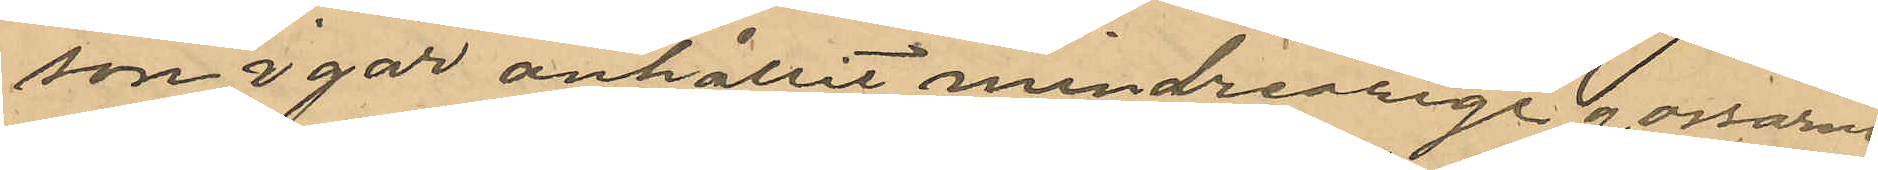son i går anhållit minderårige gossen
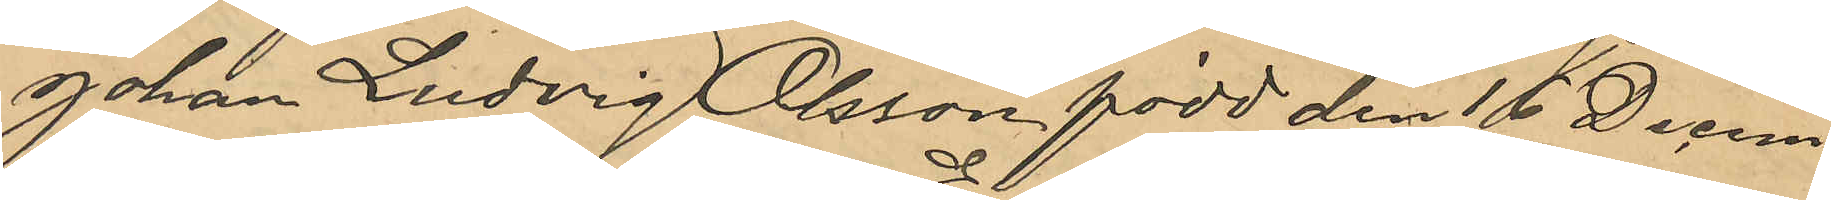Johan Ludvig Olsson, född den 16 Decem¬
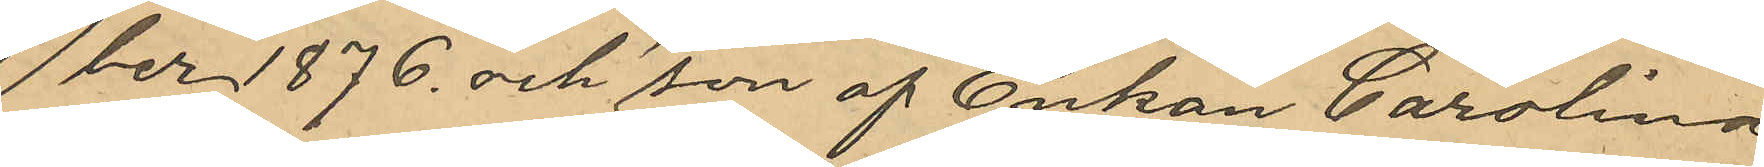ber 1876 och son af Enkan Carolina
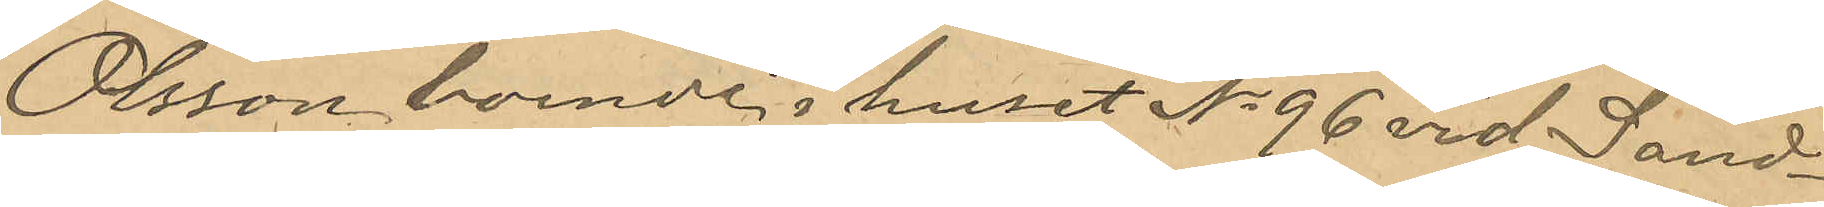Olsson, boende i huset No 96 vid Sand¬
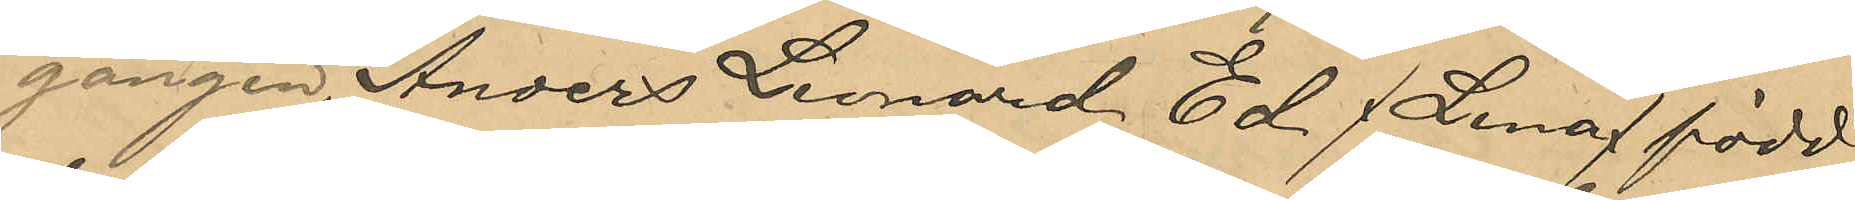gången, Anders Leonard Ed (Lena) född
